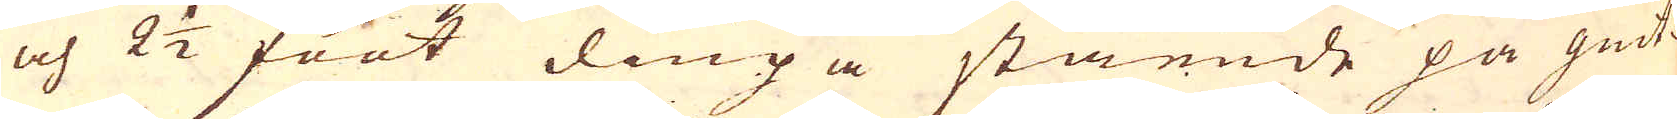och 2 1/2 foot diupa stående på giut-
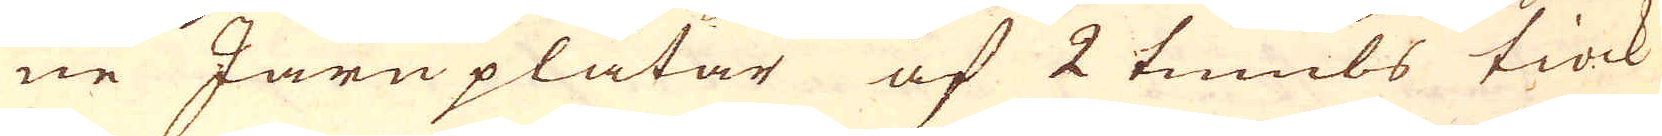ne Järnplåtar af 2 tumbs tiock
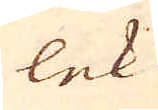lek
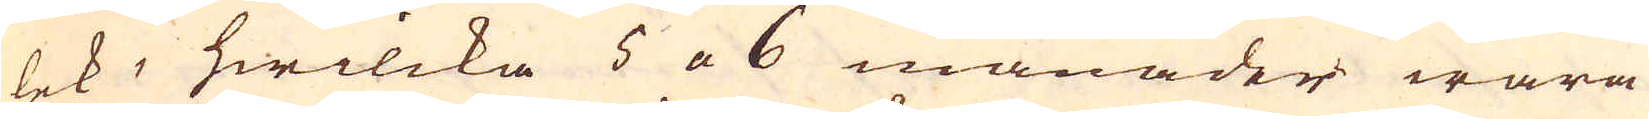lek, hwilcka 5 a 6 månader wara
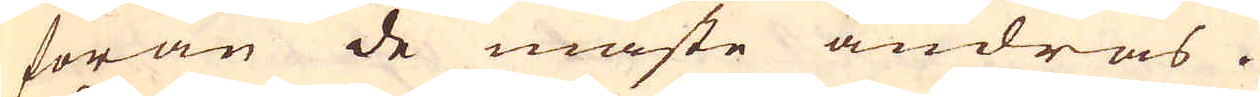förän de måste ändras.
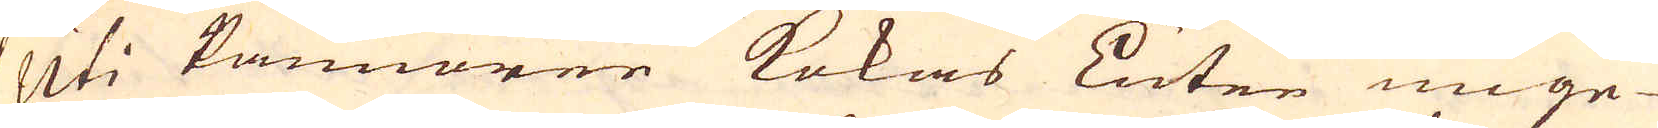Uti kannorne kokas Luten unge-
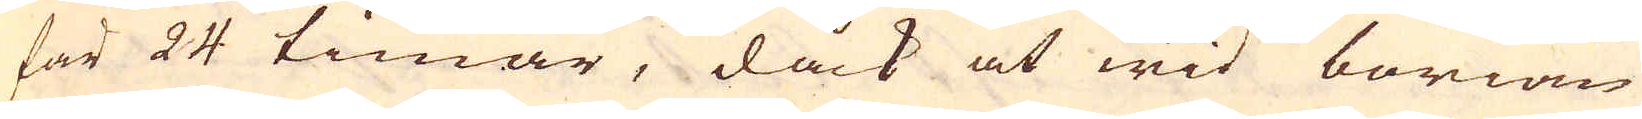fär 24 timar, dåck at wid börian
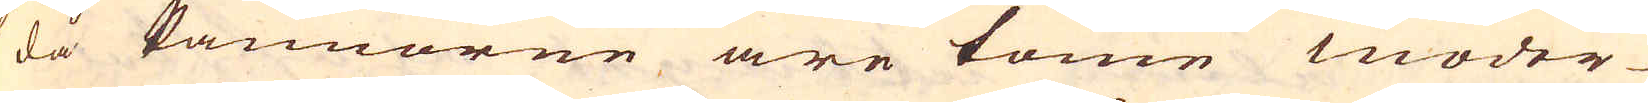då Pannorne äre tome moder-
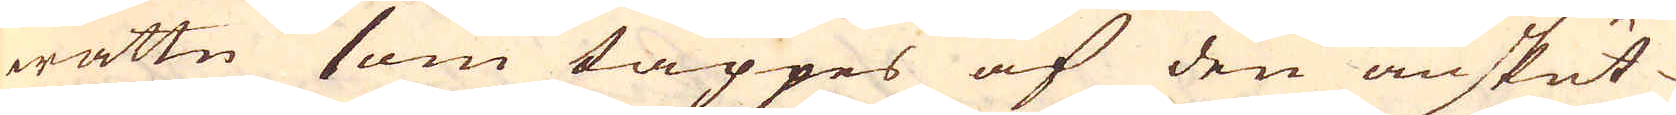wattn som täppes af den anskut-
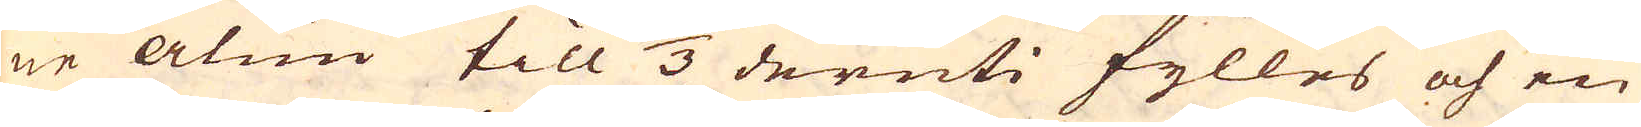ne alun till 2/3 deruti fylles och en
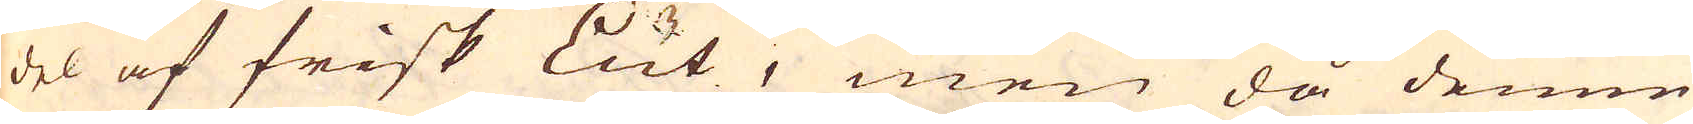del af frisk Lut, men då denne
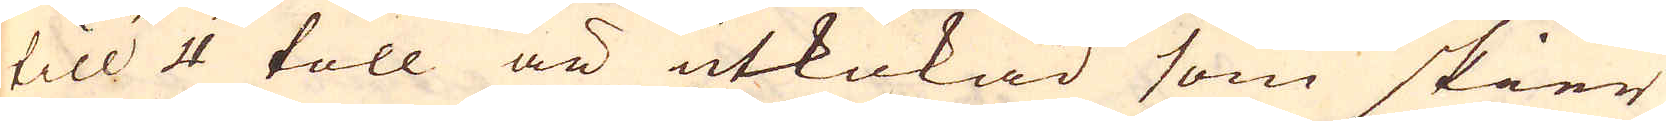till 4 toll är utkokad som skier
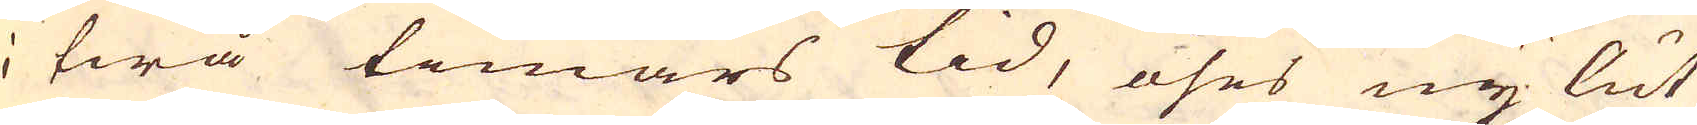i twå timars tid, öses ny lut
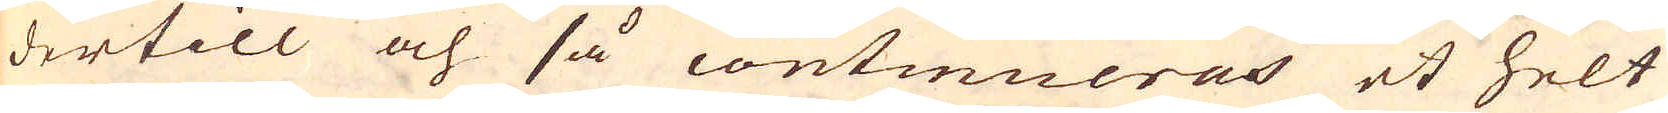dertill och så continueras et helt
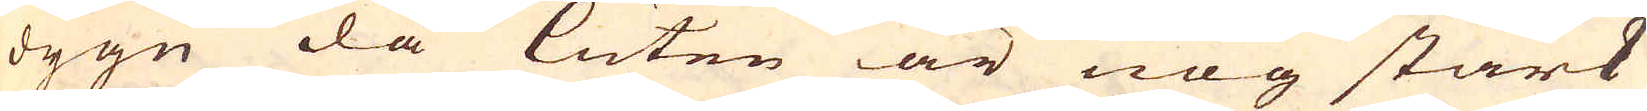dygn då Luten är nog stark
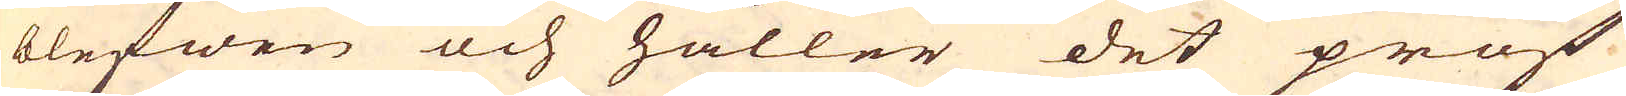blefwen och håller det prof
